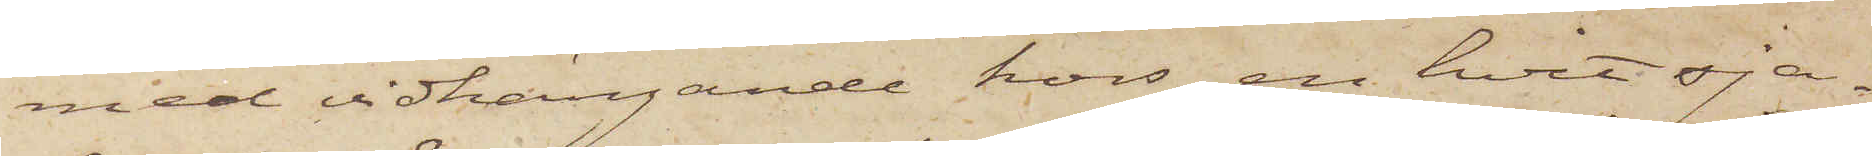med vidhängande kors, en hvit sja¬
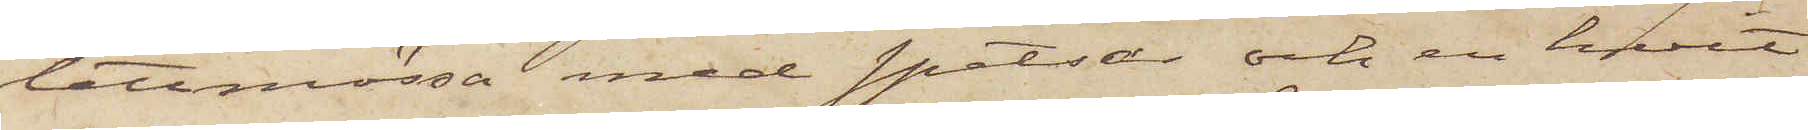lettmössa med spetsar och en hvit
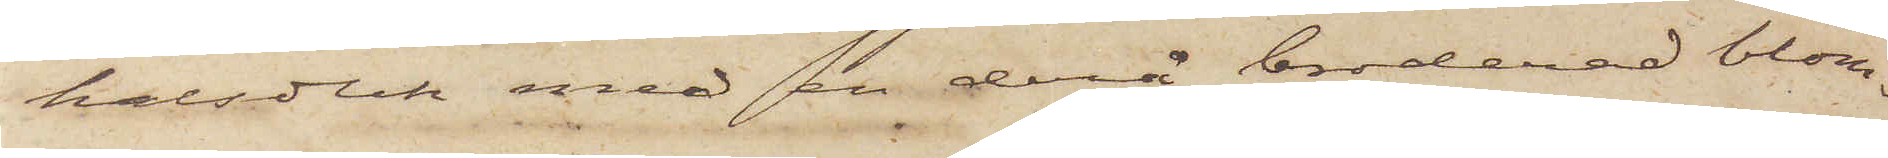halsduk med en derå broderad blom¬
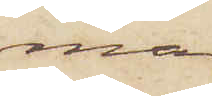ma.
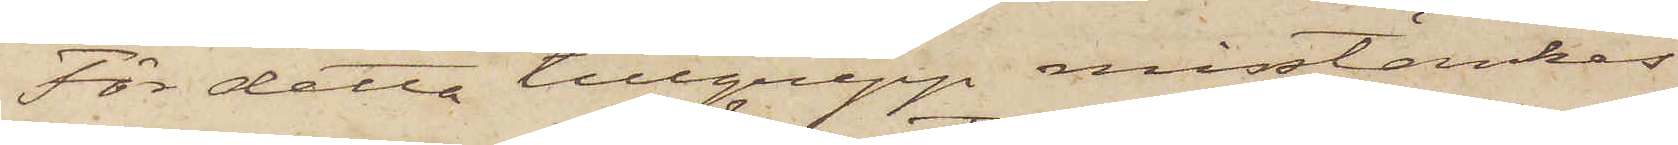För detta tillgrepp misstänkes
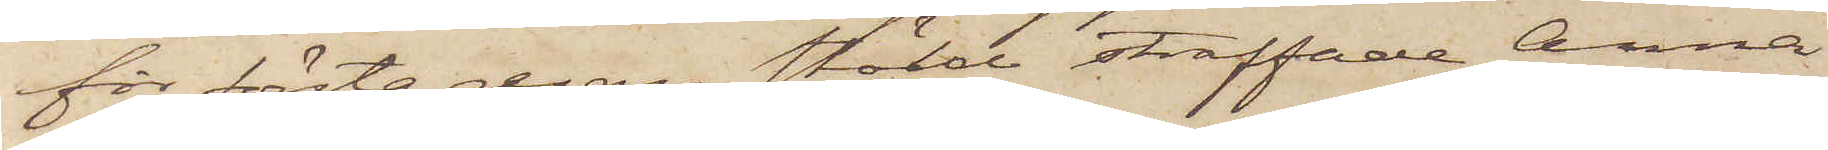för första resan stöld straffade Anna
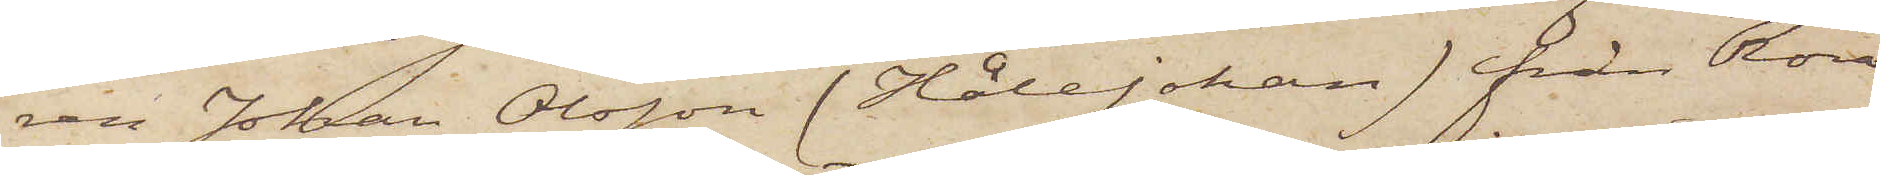ren Johan Olsson (Håle Johan) från Röra
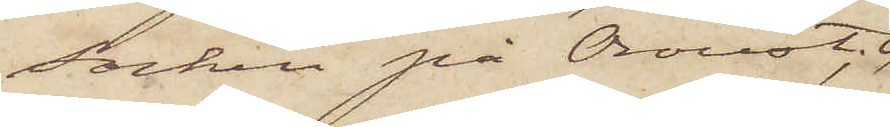socken på Oroust, och
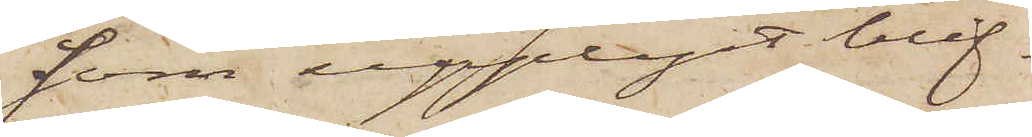som upplyst blif¬
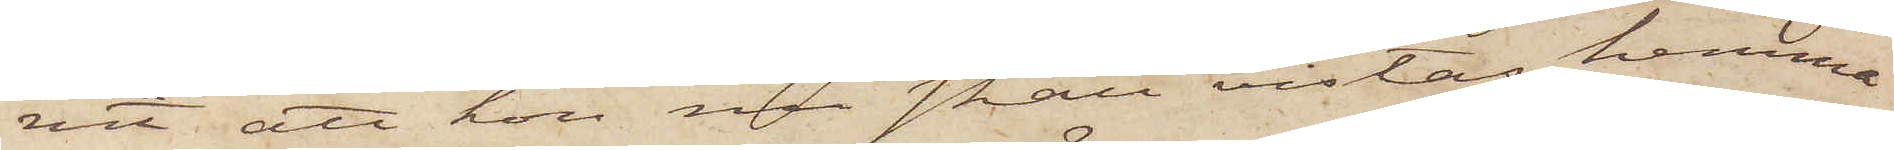vit att hon nu skall vistas hemma
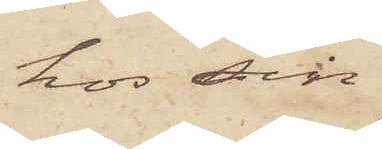hos sin
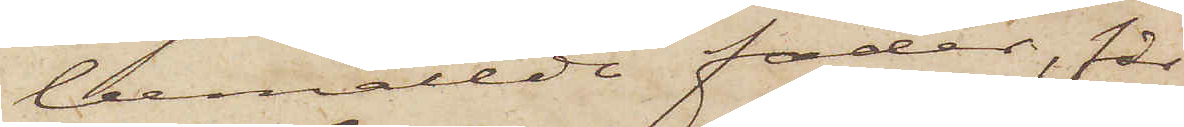bemälde fader, får
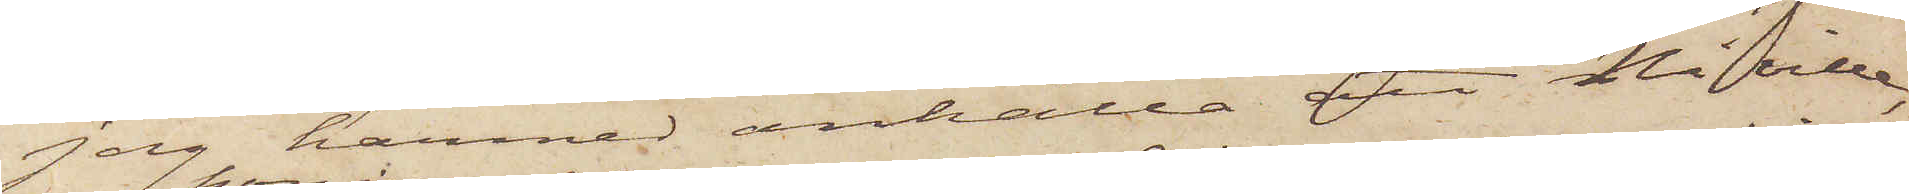jag härmed anhålla, att Ni ville,
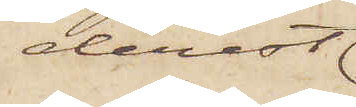derest
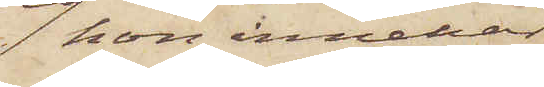hon innehar
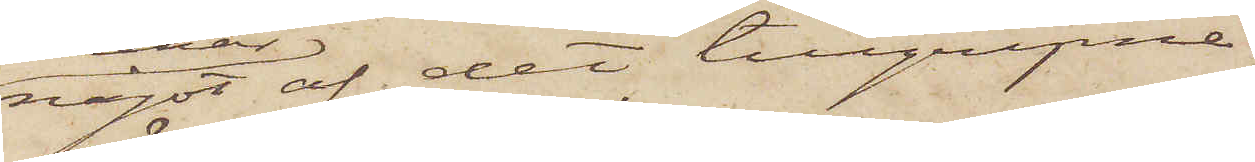något af det tillgripne
